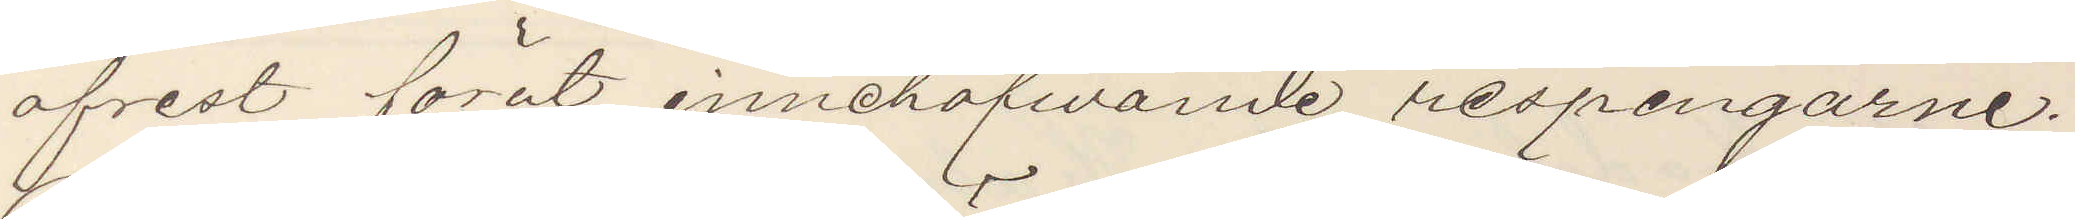afrest förut, innehafwande respengarne.
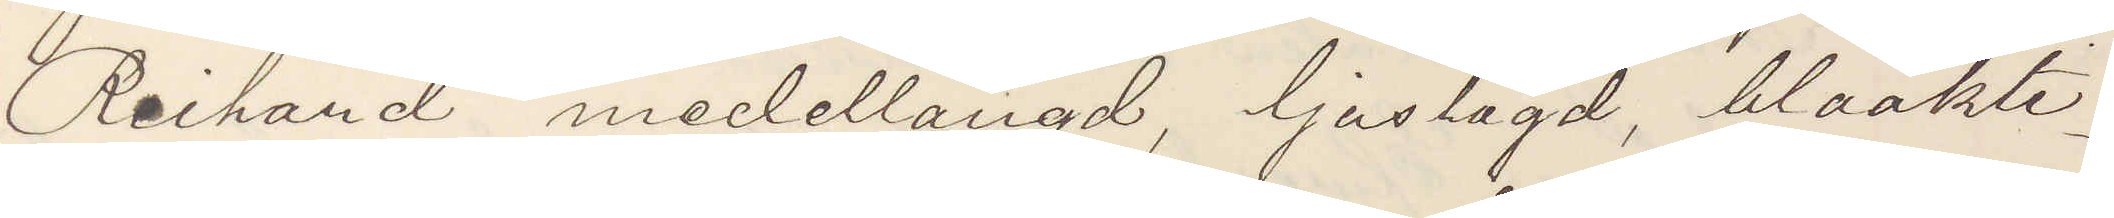Richard medellängd, ljuslagd, blåakti¬
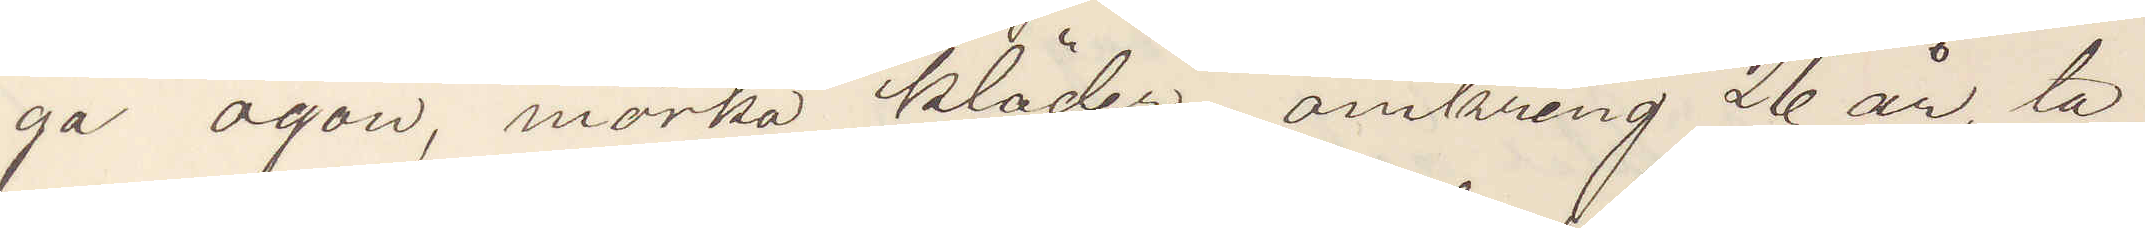ga ögon, mörka kläder, omkring 26 år, ta¬
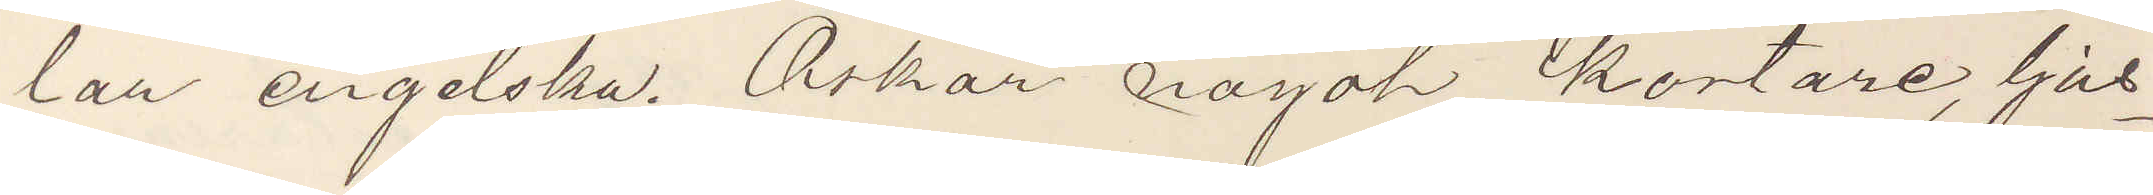lar engelska. Oskar något kortare, ljus¬
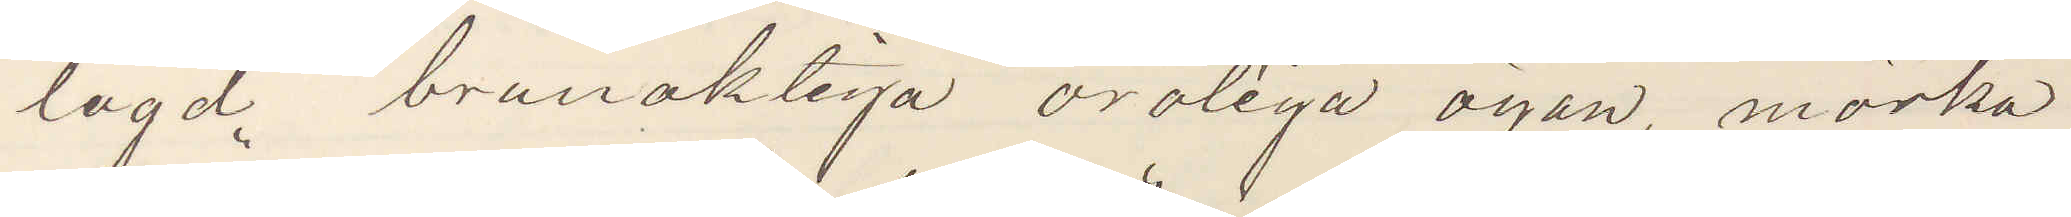lagd brunaktiga oroliga ögon, mörka
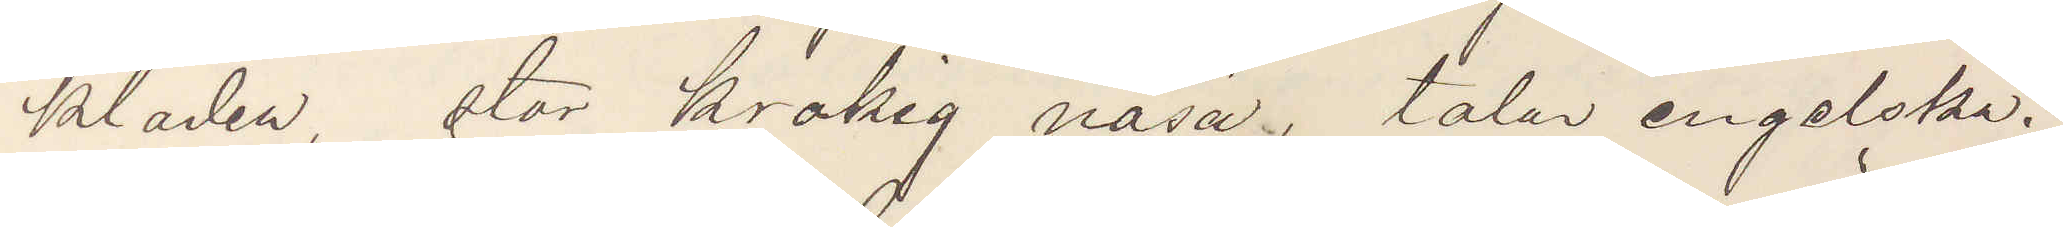kläder, stor krokig näsa, talar engelska.
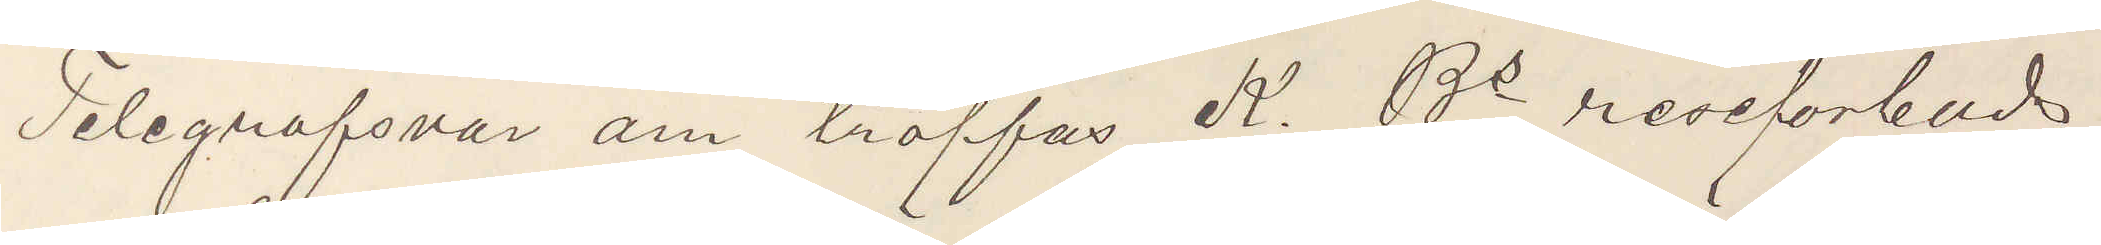Telegrafsvar om träffas K. Bs reseförbuds¬
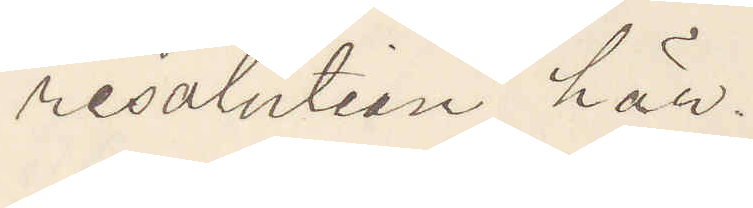resolution här.
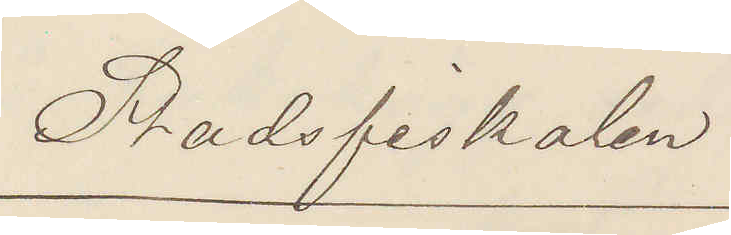Stadsfiskalen
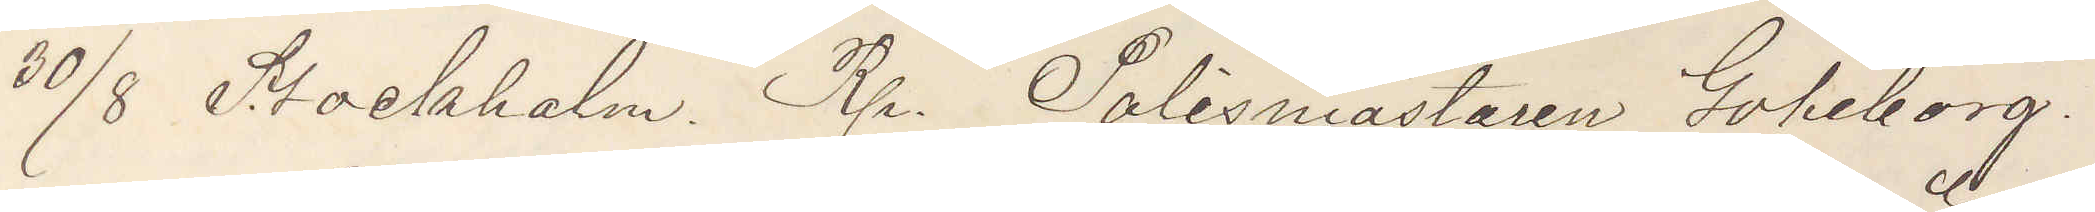30/8 Stockholm. Rp. Polismästaren Göheborg.
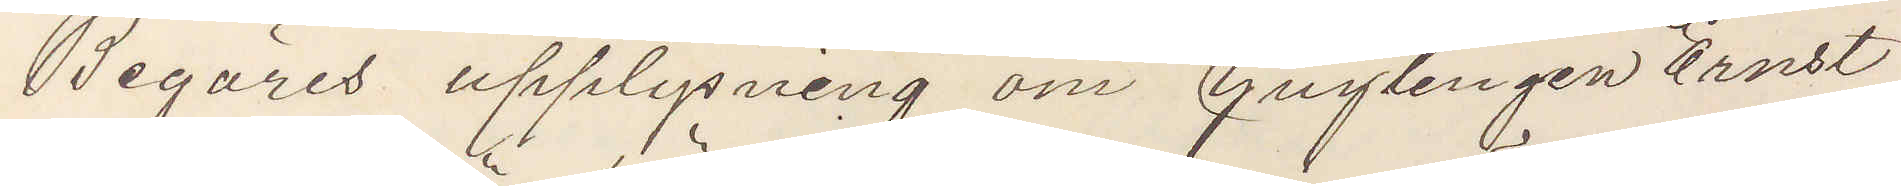Begäres upplysning om Ynglingen Ernst
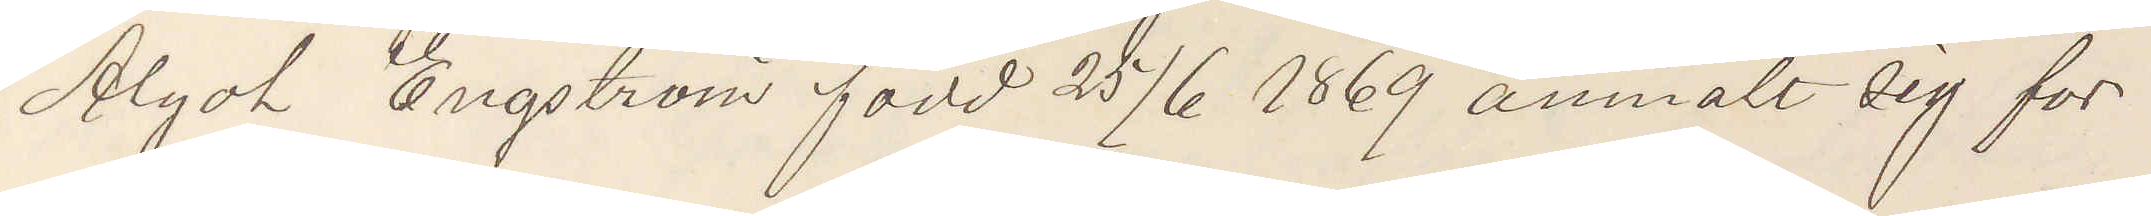Algot Engström född 25/6 1869 anmält sig för
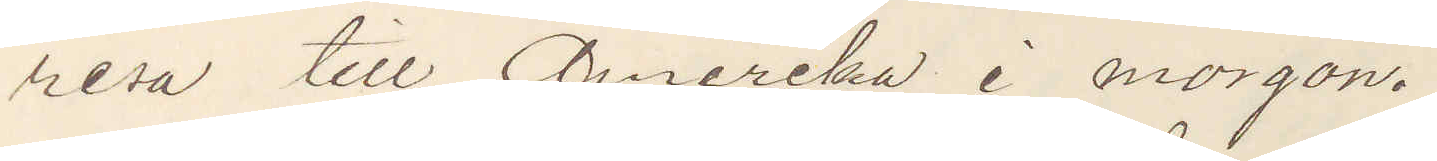resa till Amerika i morgon.
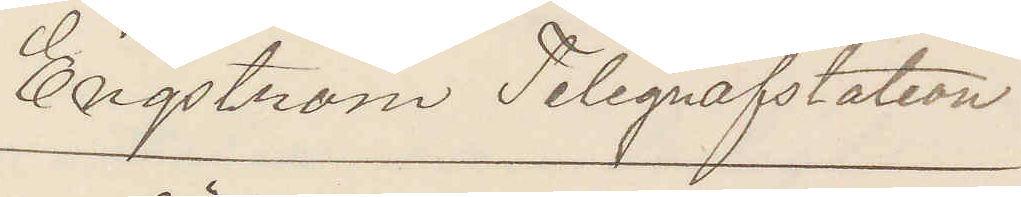Engström Telegrafstation
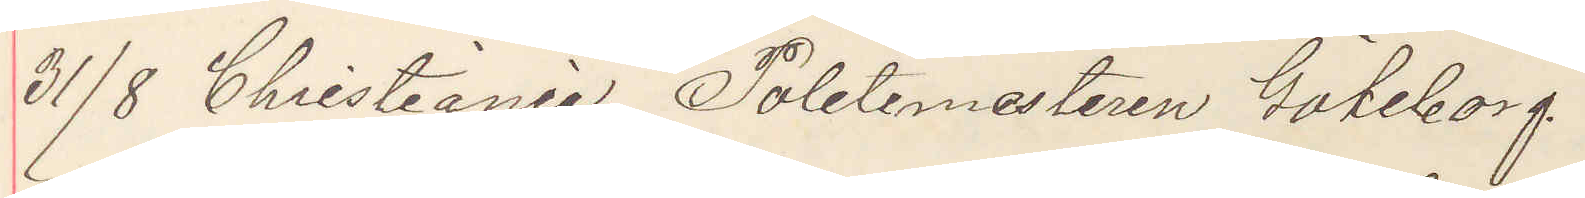31/8 Christiania Poletimestaren Göteborg
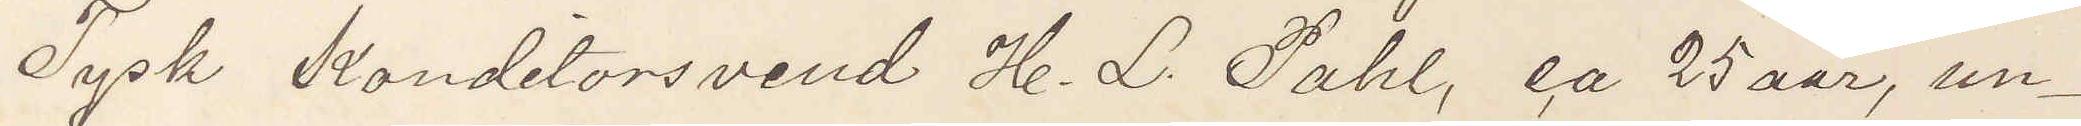Tysk Konditorsvend H. L. Pahl, ca 25 aar, un¬
